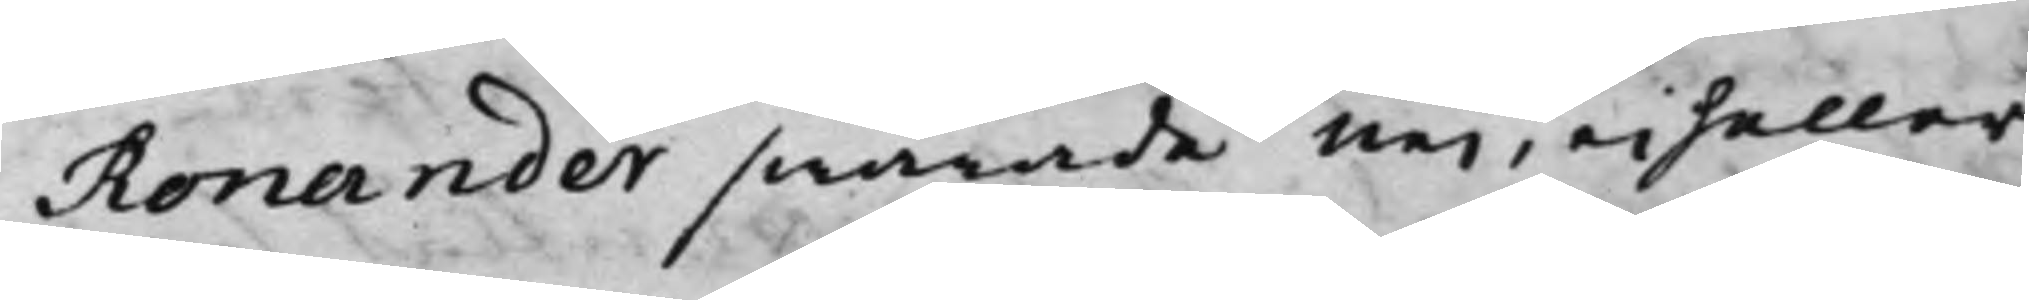Ronander swarade nej, ei heller
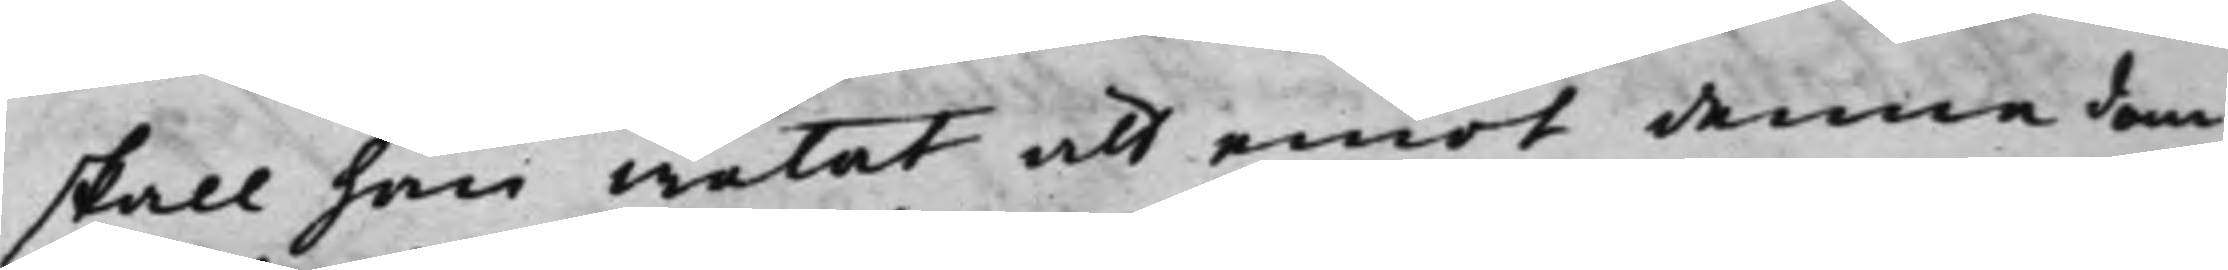skall han wetat att emot denna dom
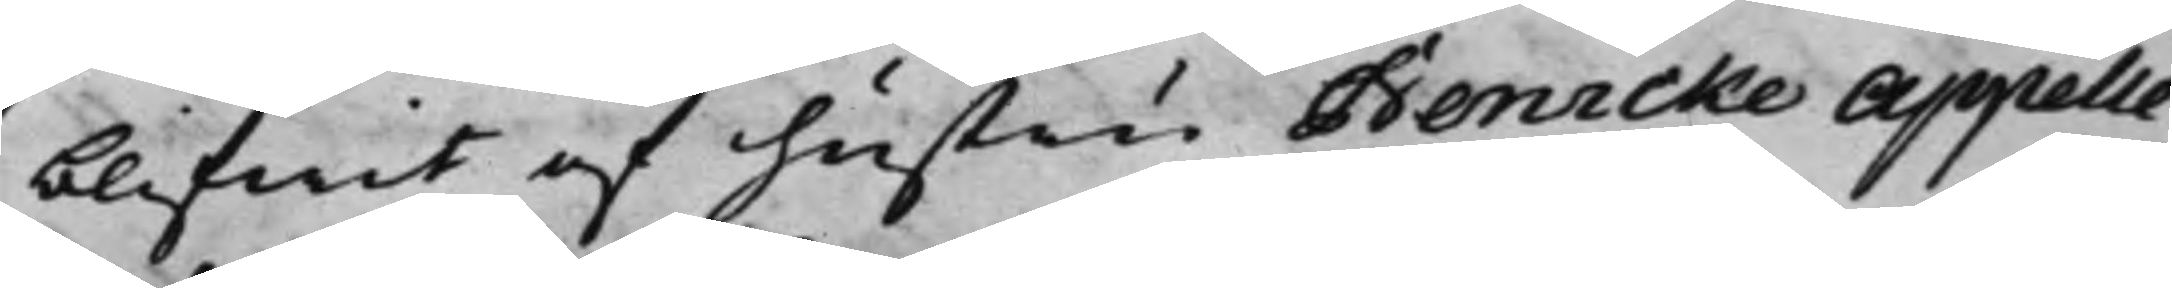blifwit af hustru Benicke Appelle¬
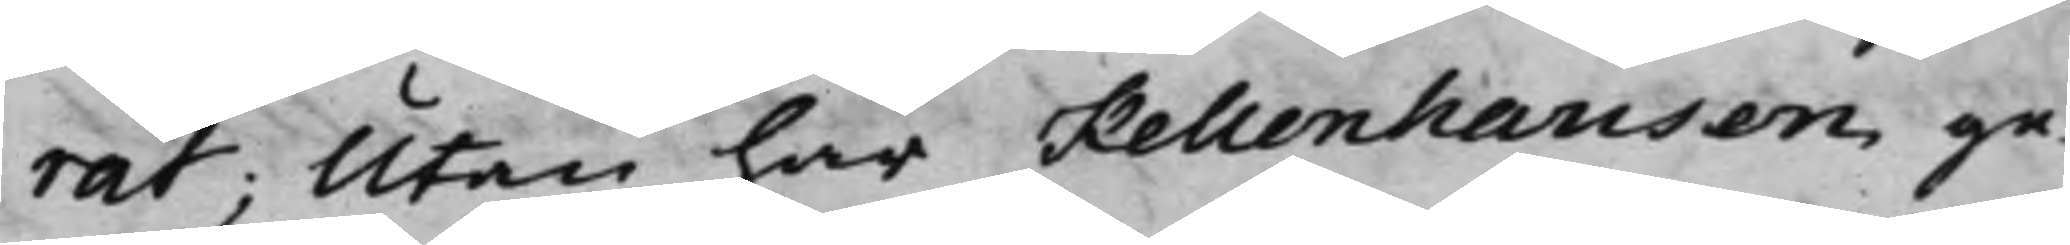rat; Utan har Kellenhausen ge¬
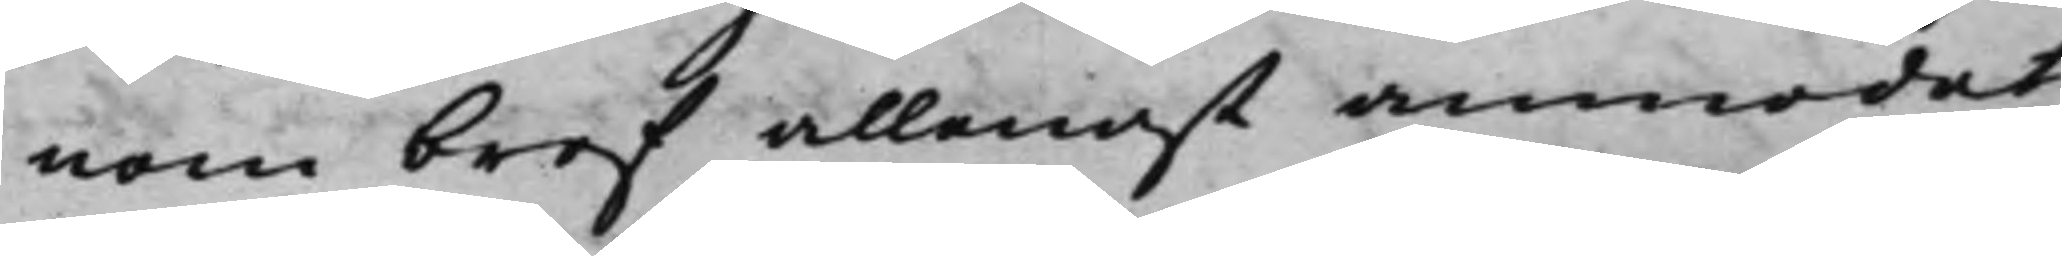nom bref allenast anmodat
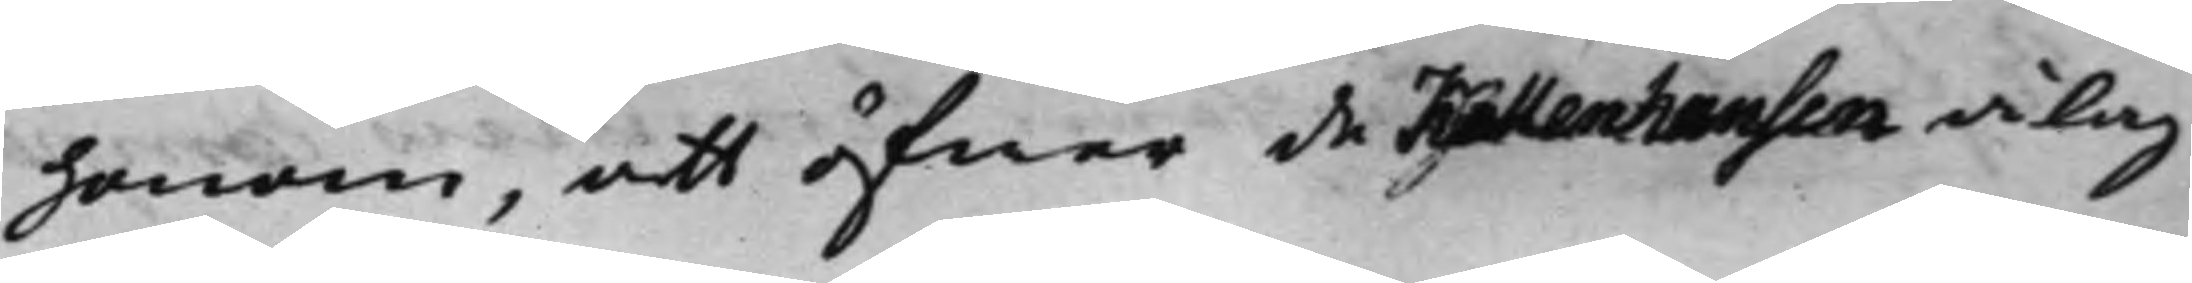honom, att öfwer de Kellenhausen ålag¬
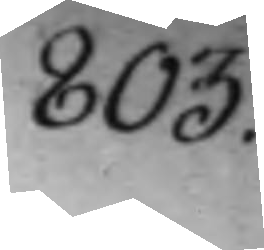803.
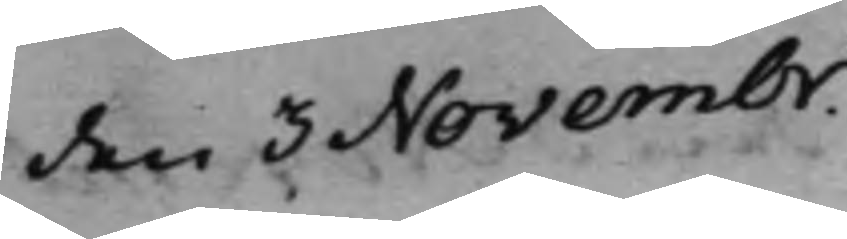den 3 Novembr.
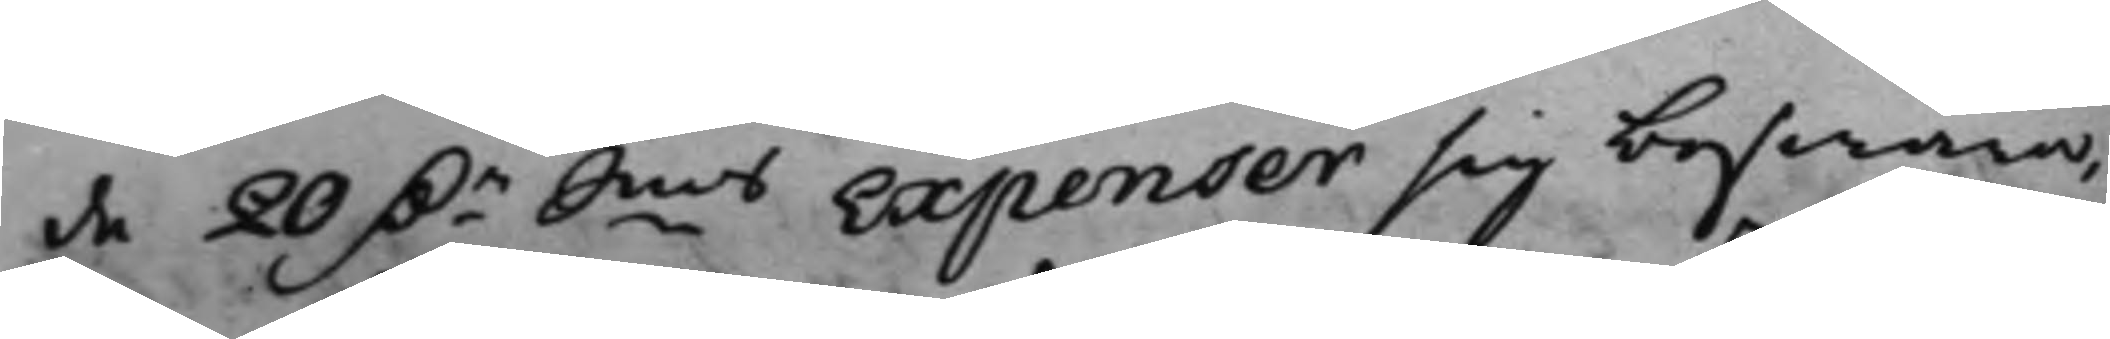de 20 D.r Smts Expenser sig beswära,
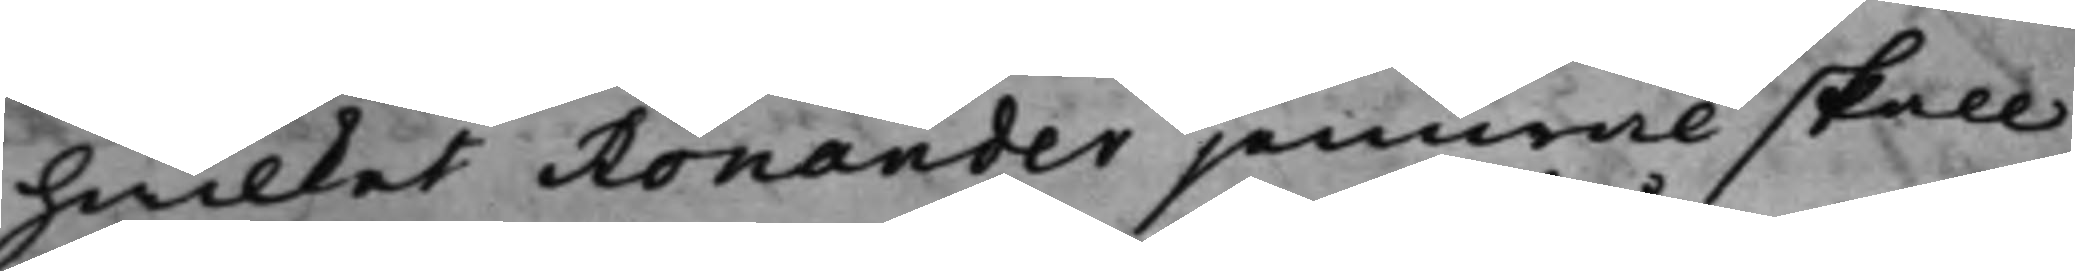hwilket Ronander jemwäl skall
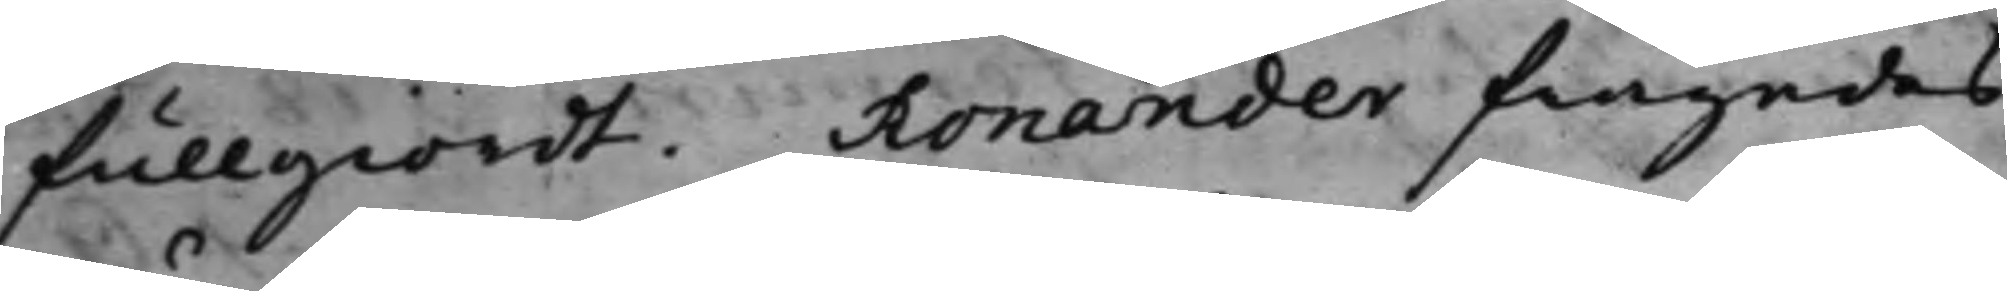fullgiordt. Ronander frågades
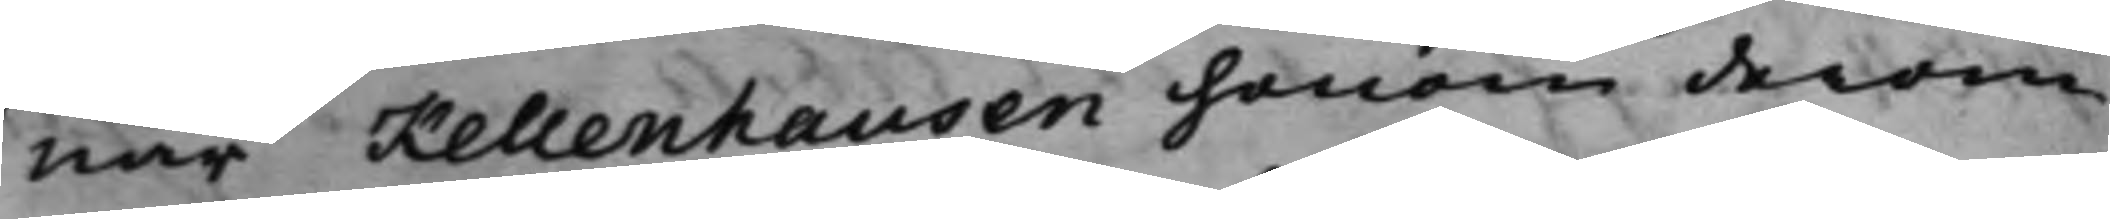när Kellenhausen honom derom
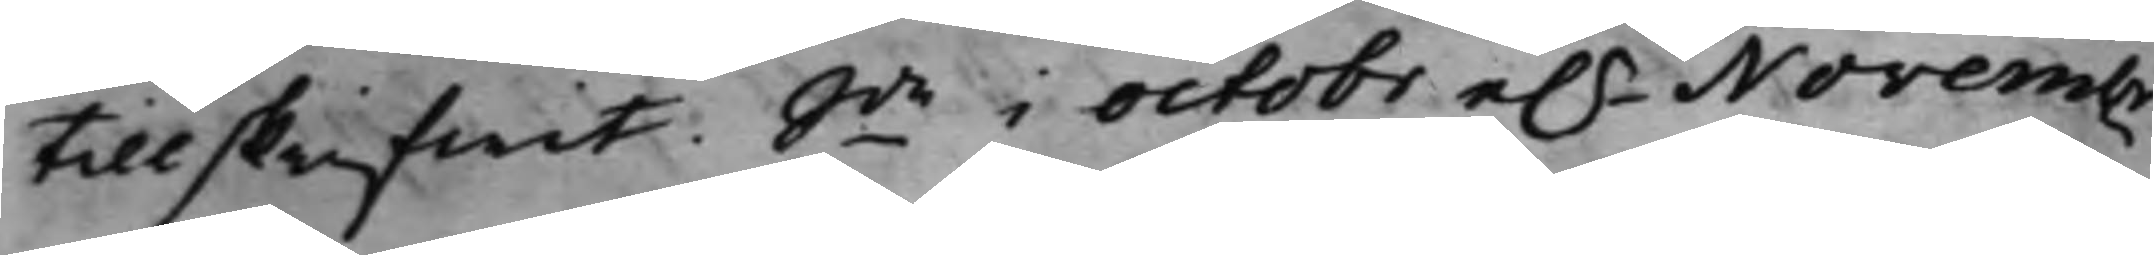tillskrifwit. Sde i Octobr e.r Novembr
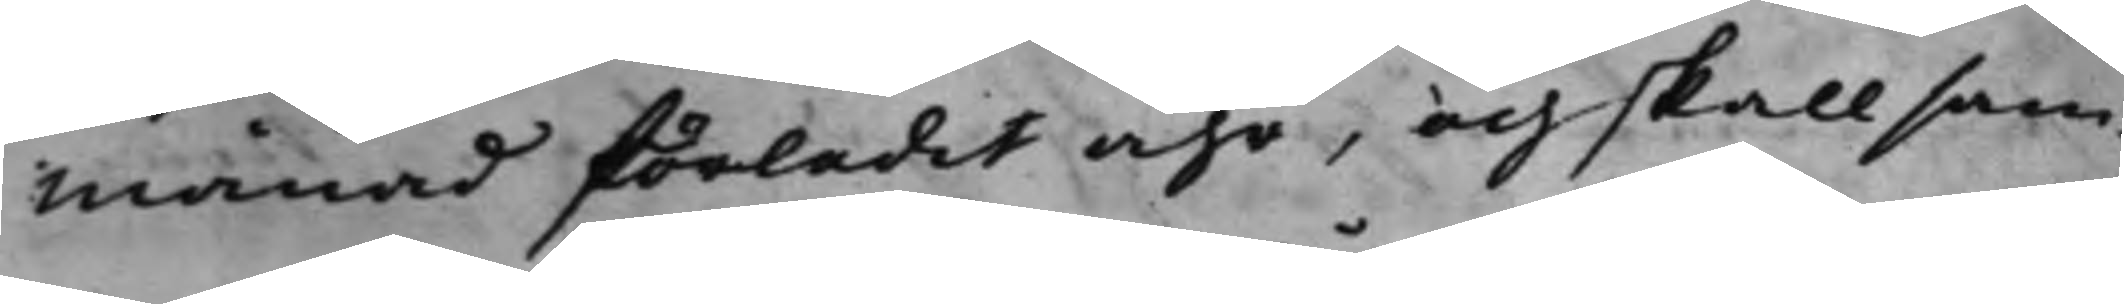månad förledit åhr, och skall sam¬
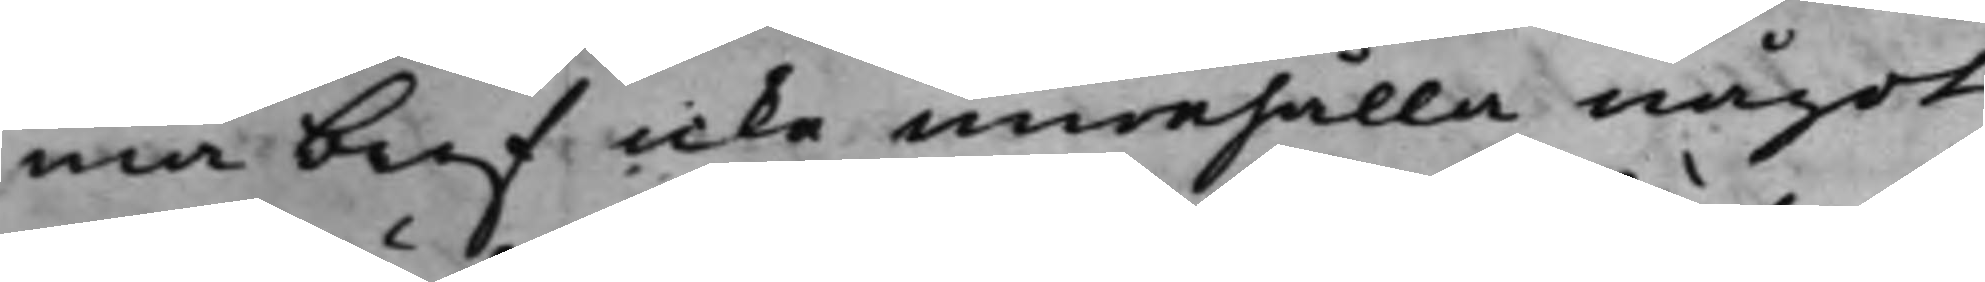ma bref icke innehålla något
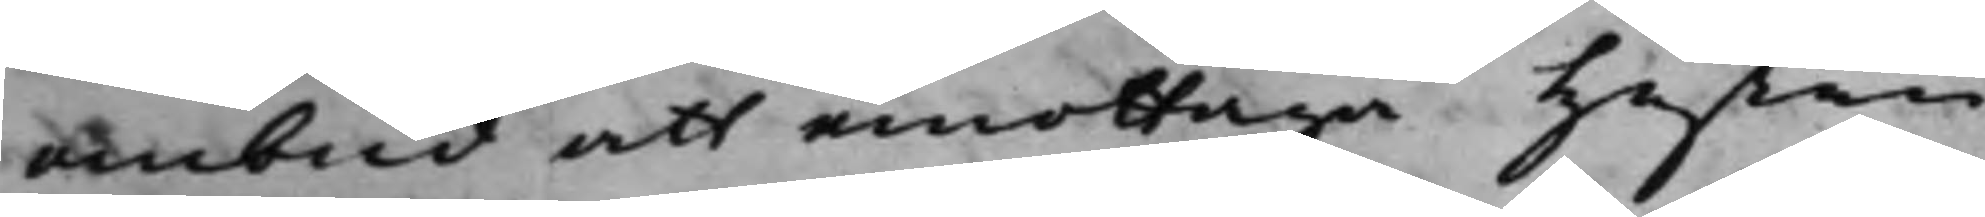ombud att emottaga Hustru
